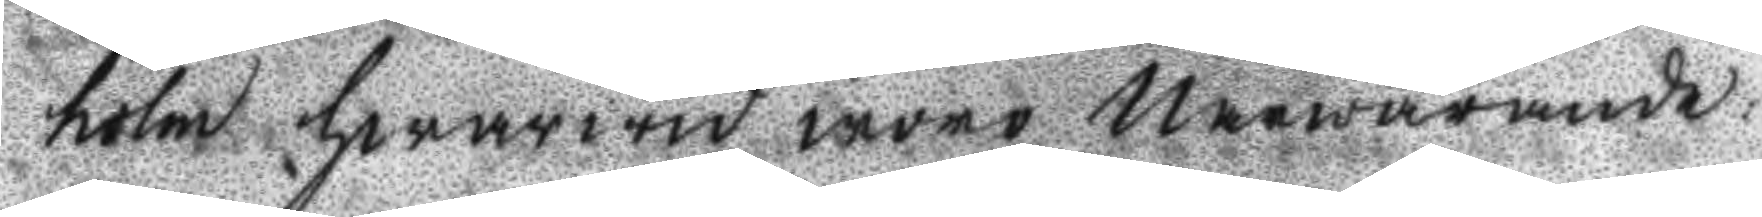holm hwarwid woro närwarande:
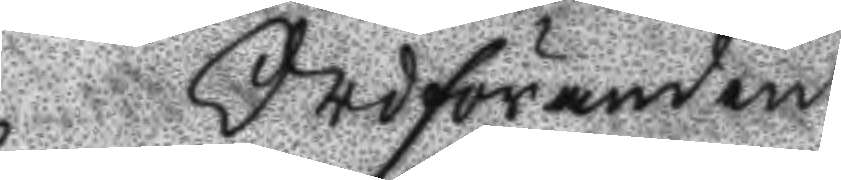Ordföranden
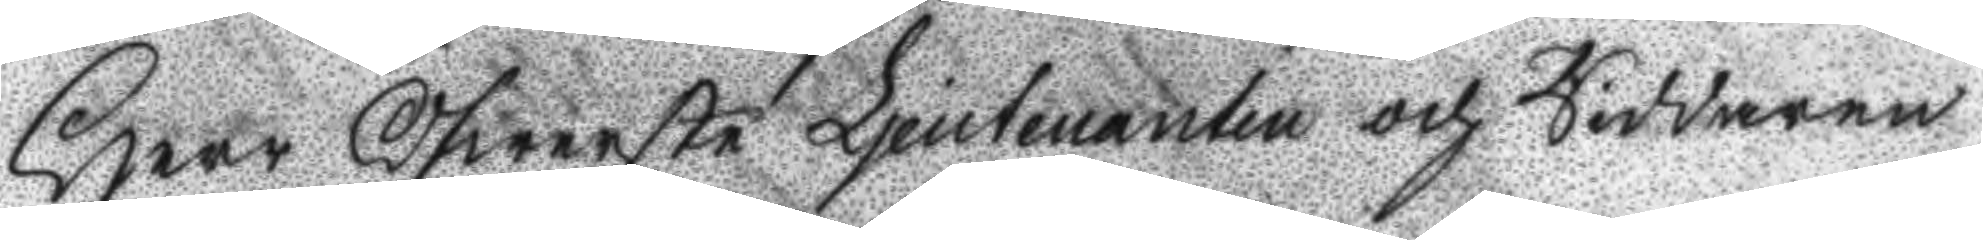Herr Öfwerste Lieutnanten och Riddaren
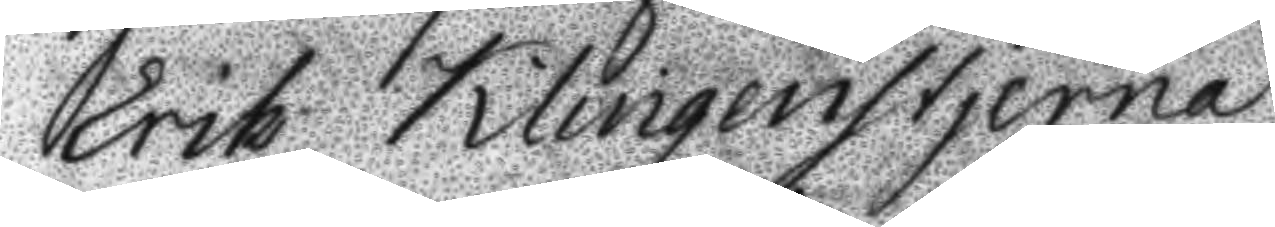Erik Klingenstjerna
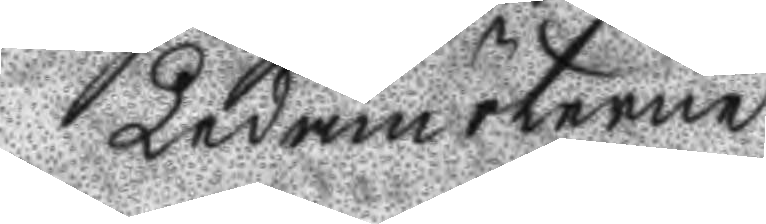Ledamöterne
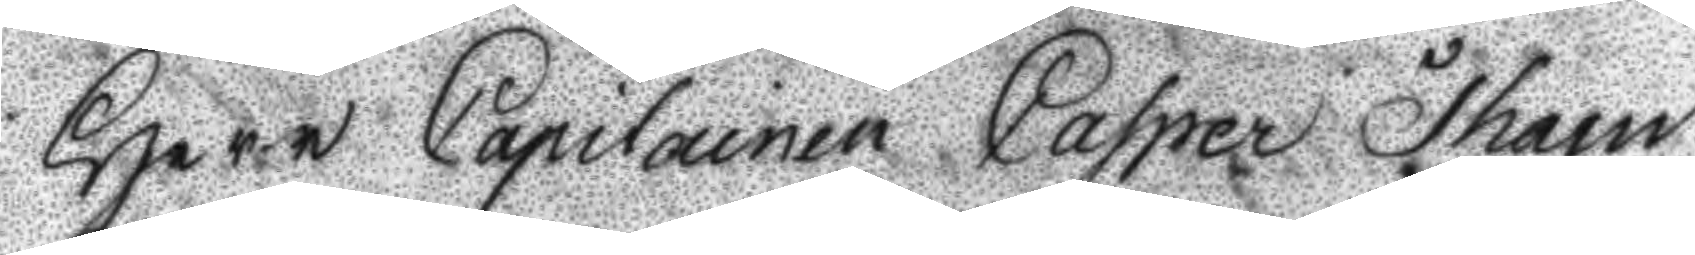Herr Capitainen Casper Tham
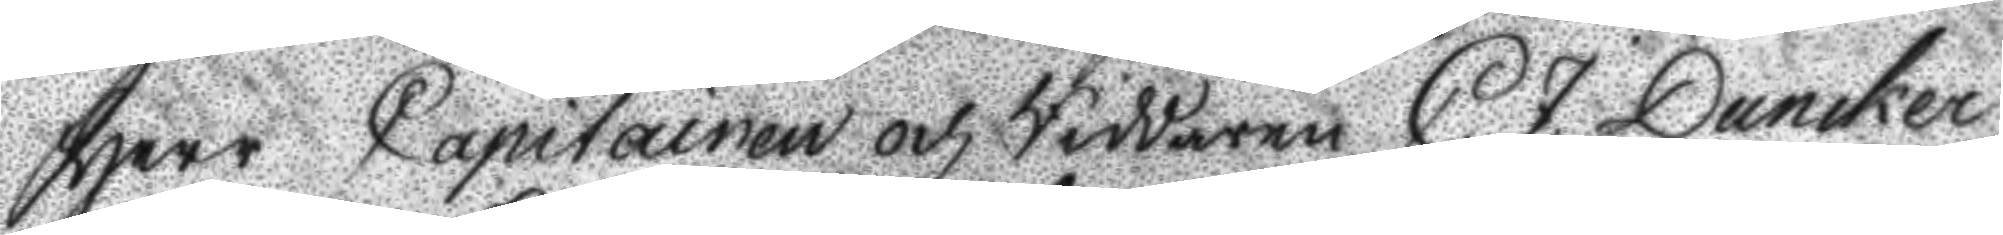Herr Capitainen och Riddaren C. J. Dunker
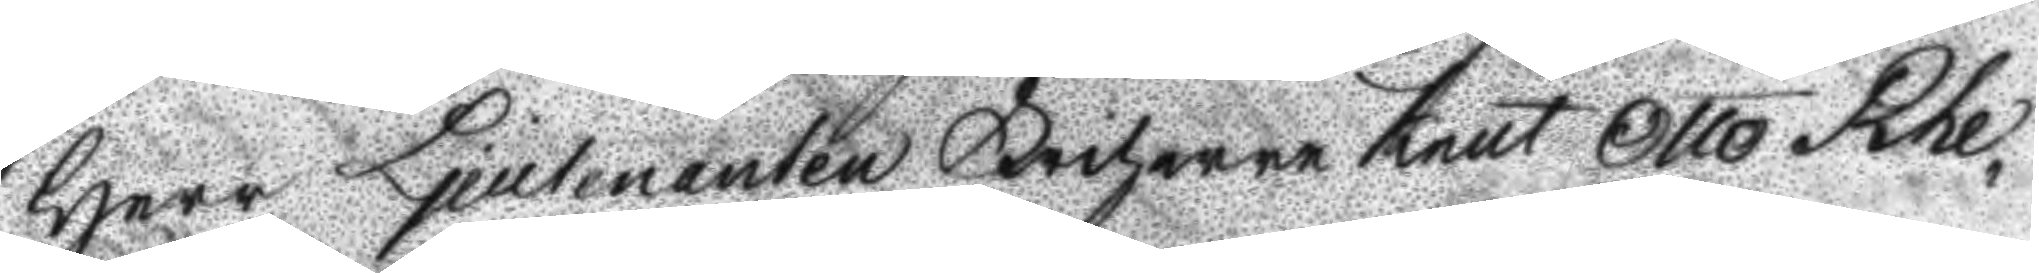Herr Lieutnanten Friherre Knut Otto Rhe¬
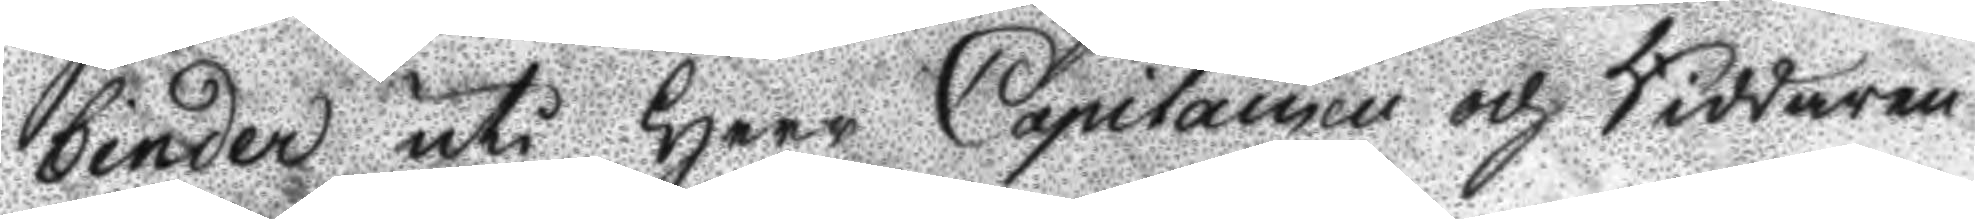binder uti Herr Capitainen och Riddaren
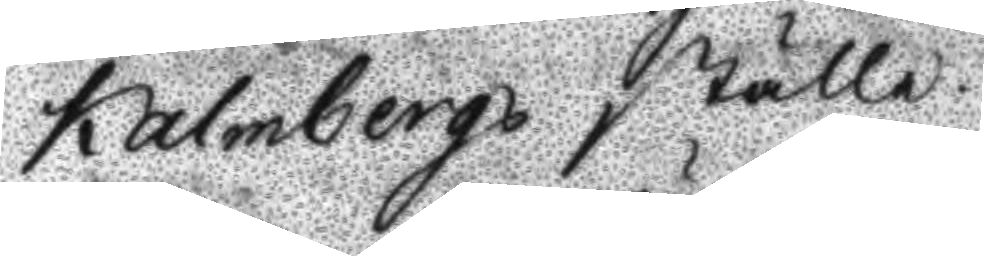Kalmbergs ställe.
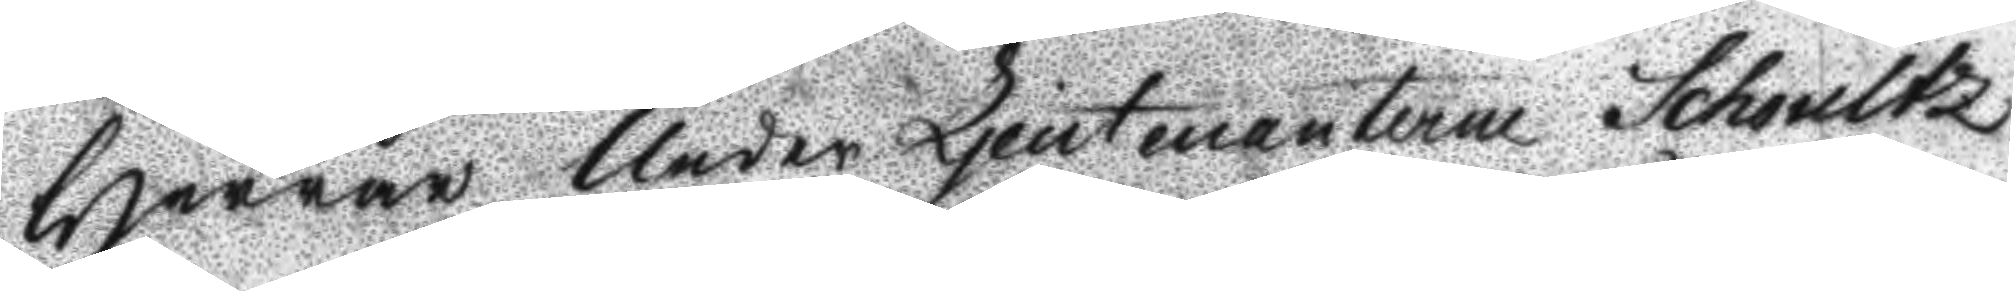Herrar Under Lieutnanterne Schoultz
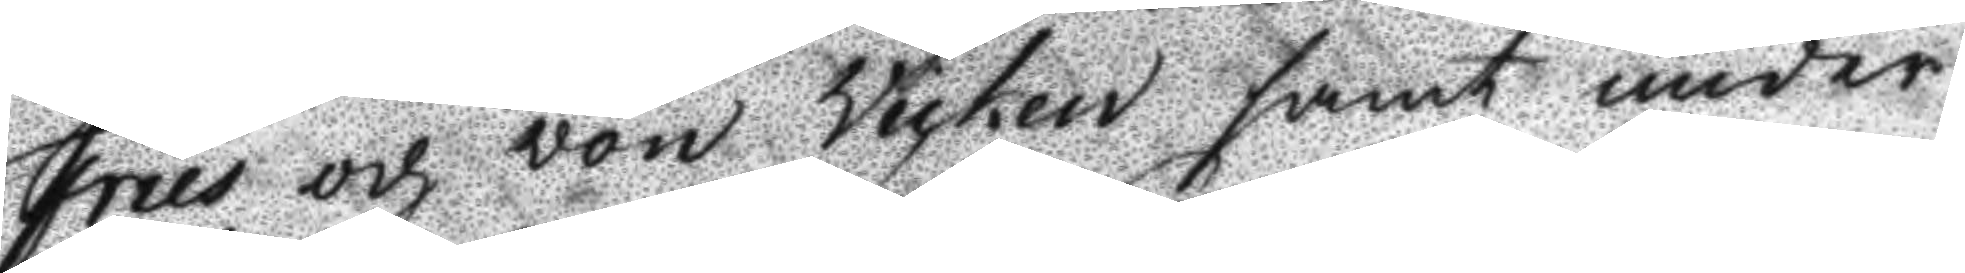Fries och von Vicken samt under¬
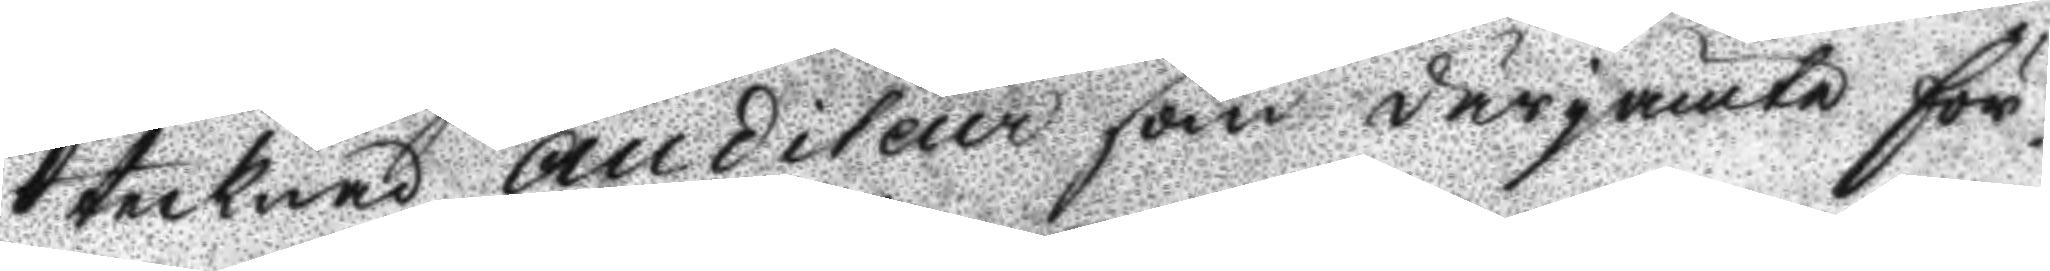tecknad auditeur som därjämte för¬
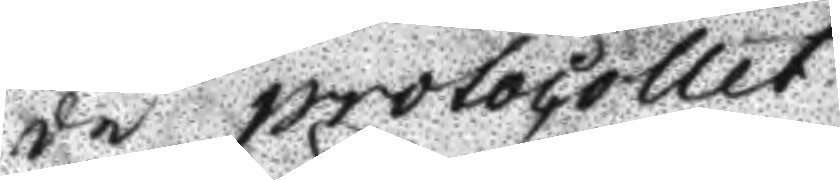de protocollet.
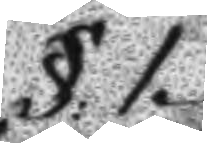§: 1.
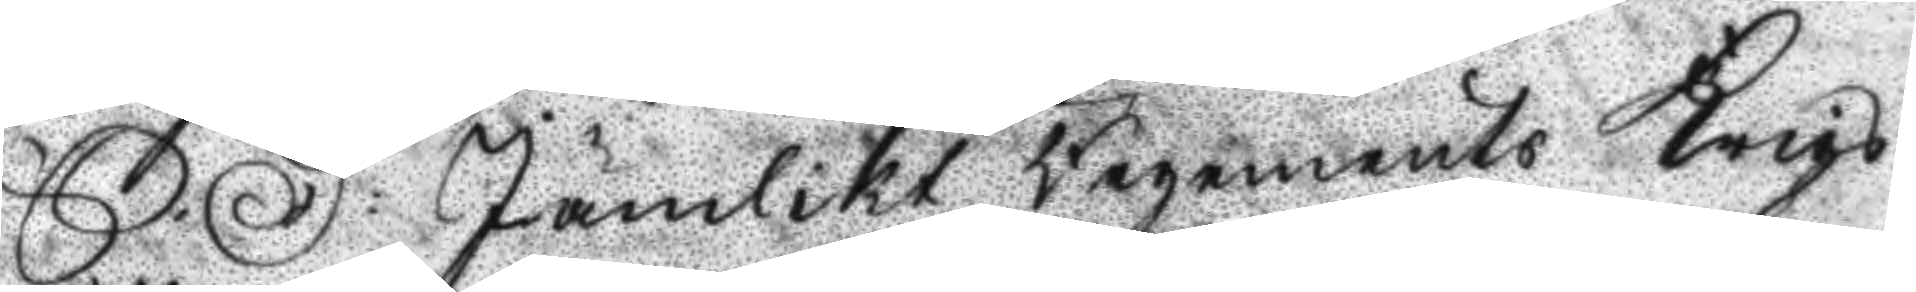S. D: Jämlikt Regements Krigs
